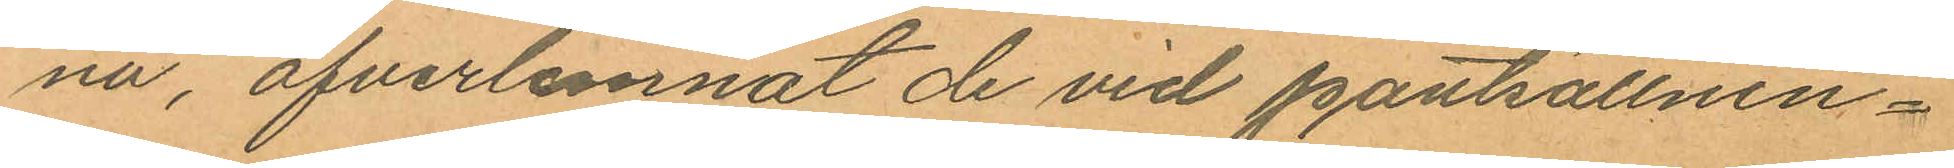na, öfverlemnat de vid pantsättnin¬
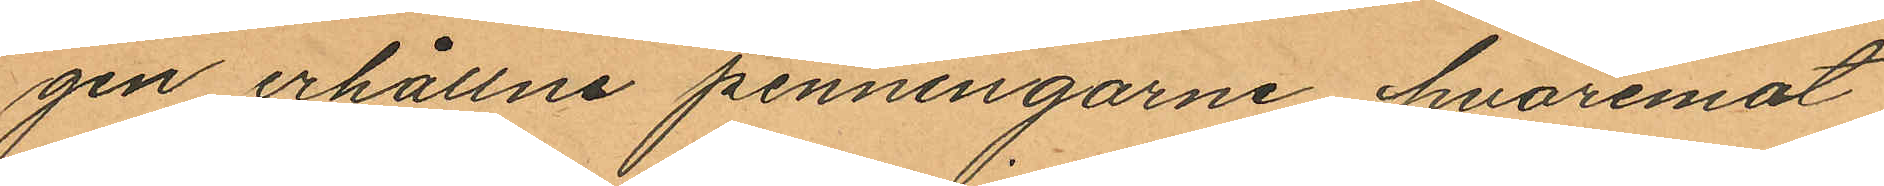gen erhållne penningarne, hvaremot
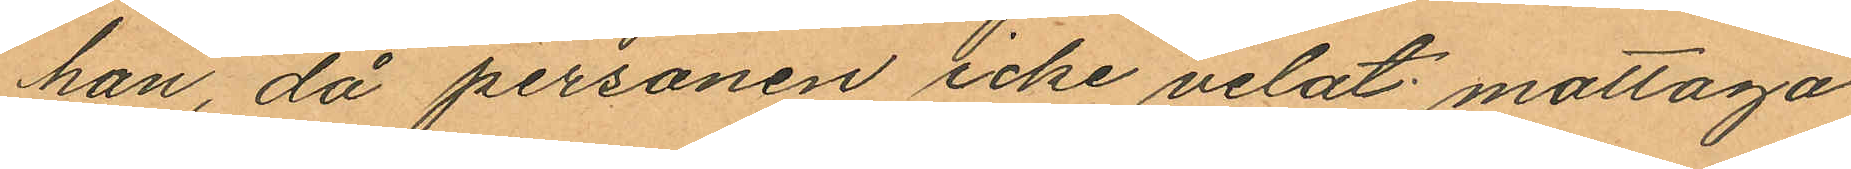han, då personen icke velat mottaga
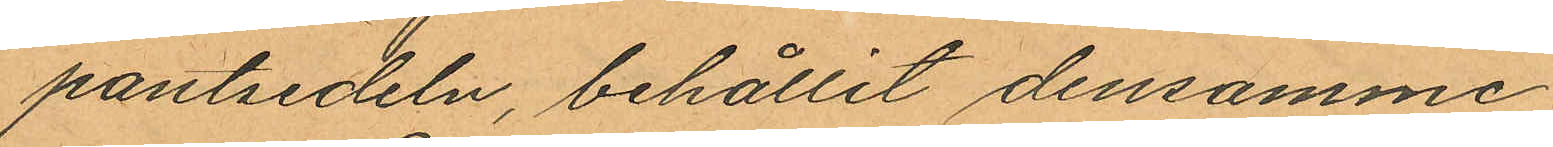pantsedeln, behållit densamme.
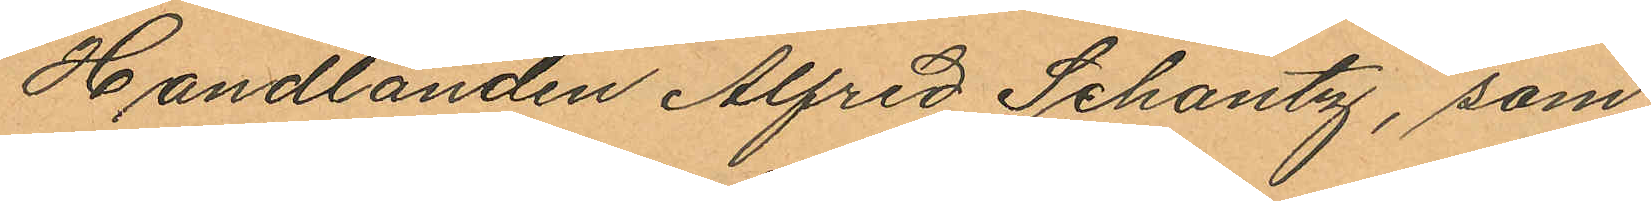Handlanden Alfred Schantz, som
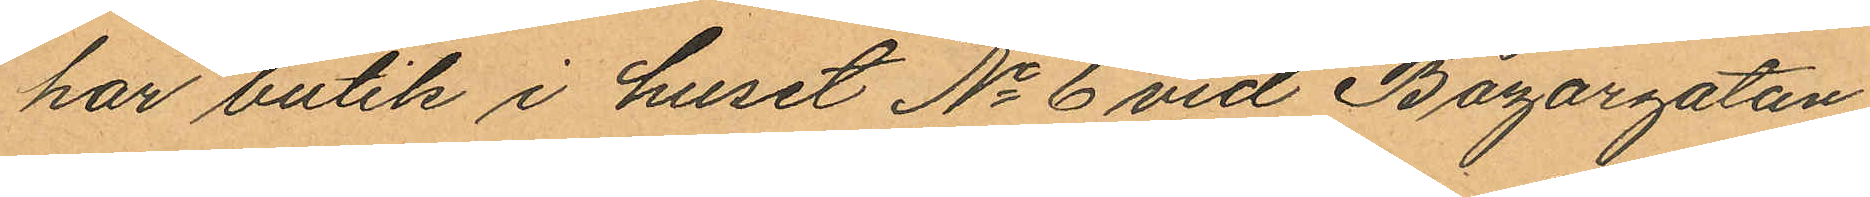har butik i huset No 6 vid Bazargatan,
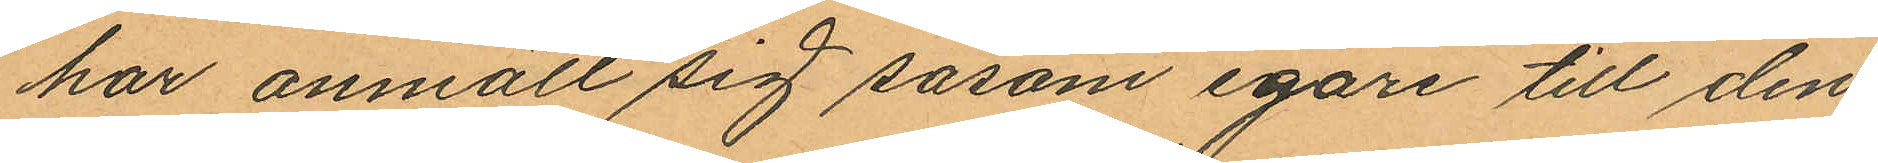har anmält sig såsom egare till den
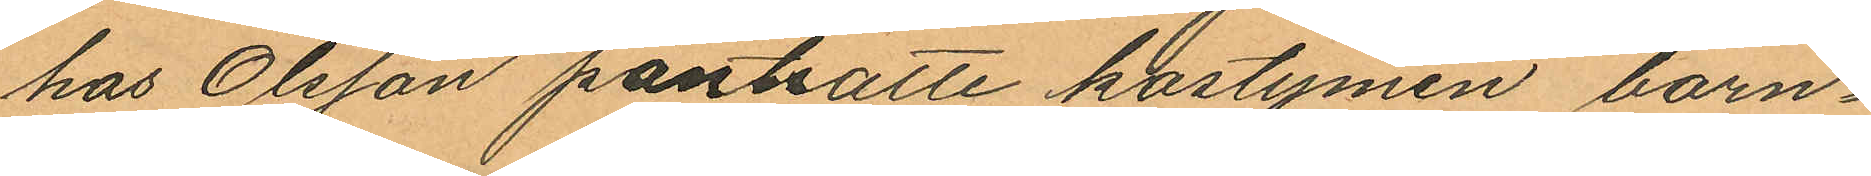hos Olsson pantsatte kostymen barn¬
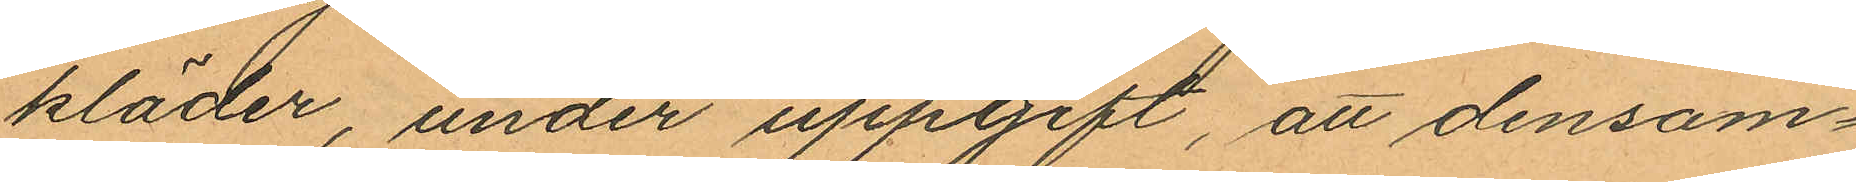kläder, under uppgift, att densam¬
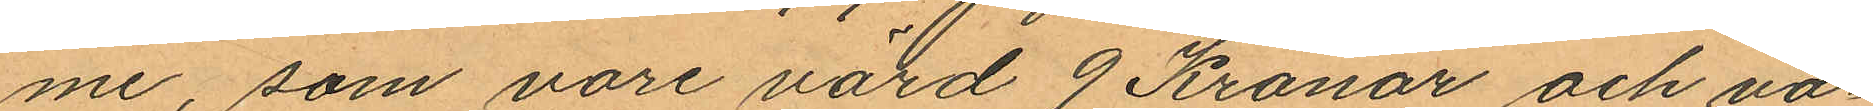me, som vore värd 9 Kronor och va¬
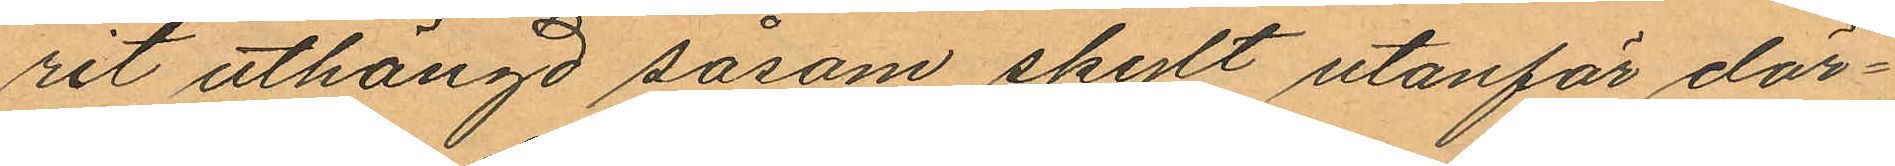rit uthängd såsom skylt utanför dör¬
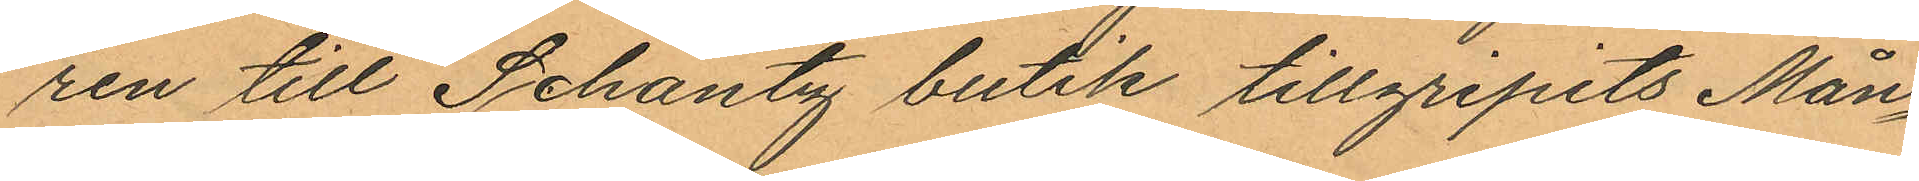ren till Schantz butik tillgripits Mån¬
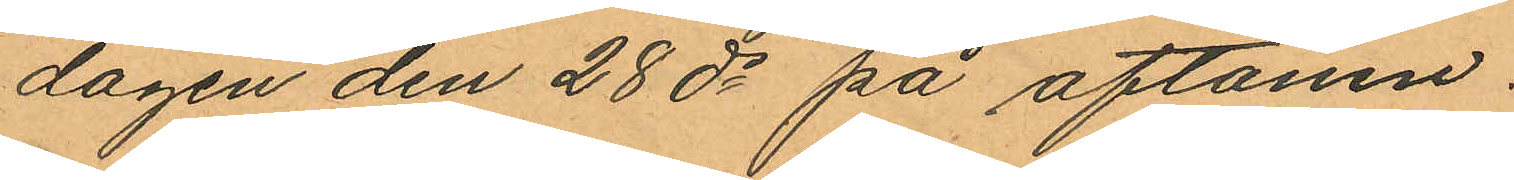dagen den 28 ds på aftonen.
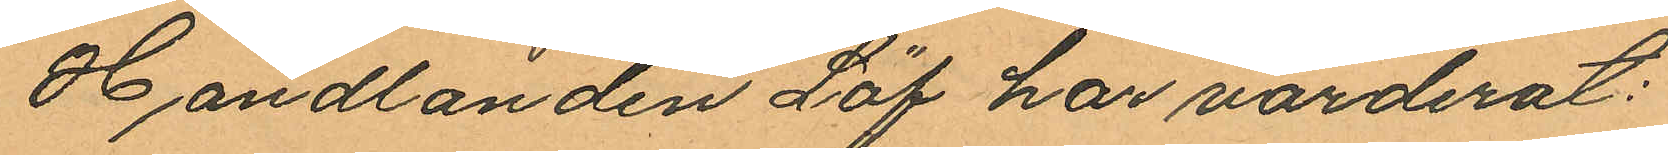Handlanden Löf har värderat:
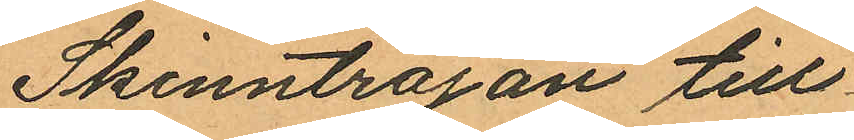Skinntröjan till
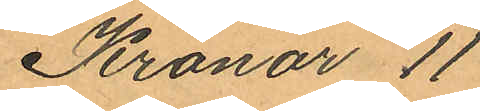Kronor 11
